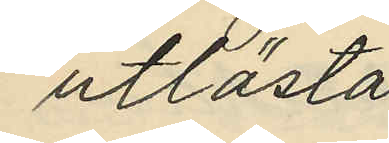utlösta
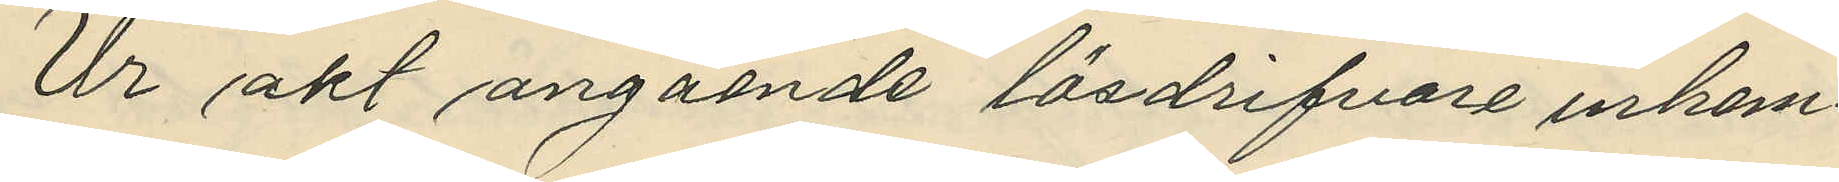Ur akt angående lösdrifvare inhem¬
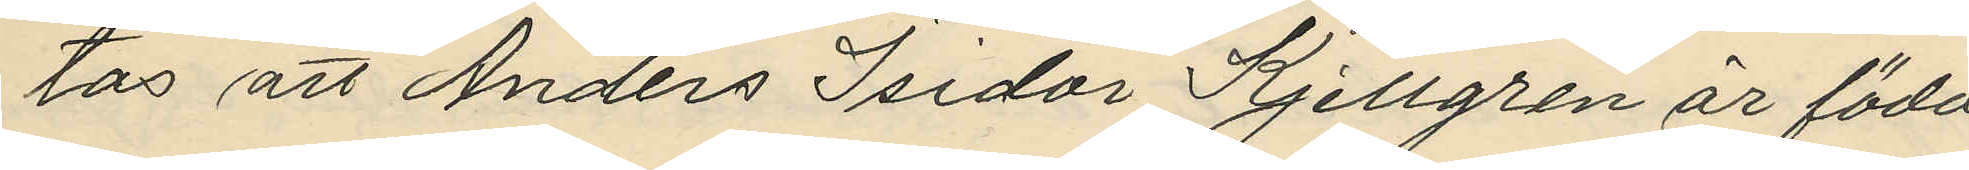tas att Anders Isidor Kjellgren är född
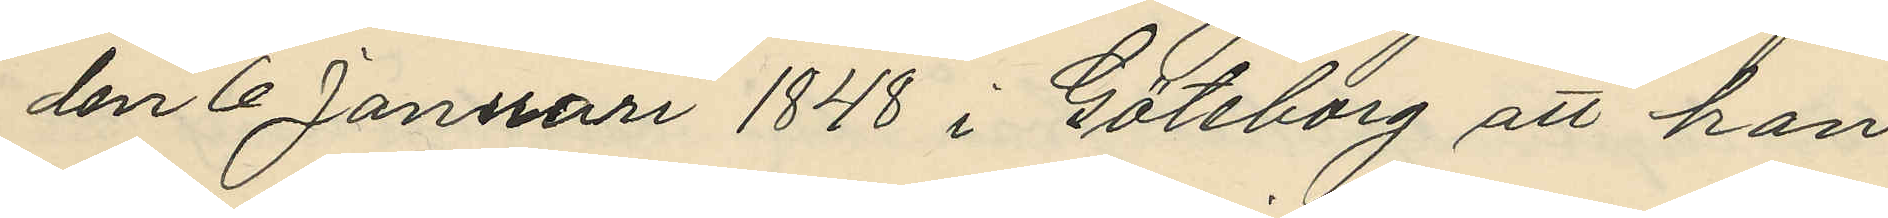den 6 Januari 1848 i Göteborg att han
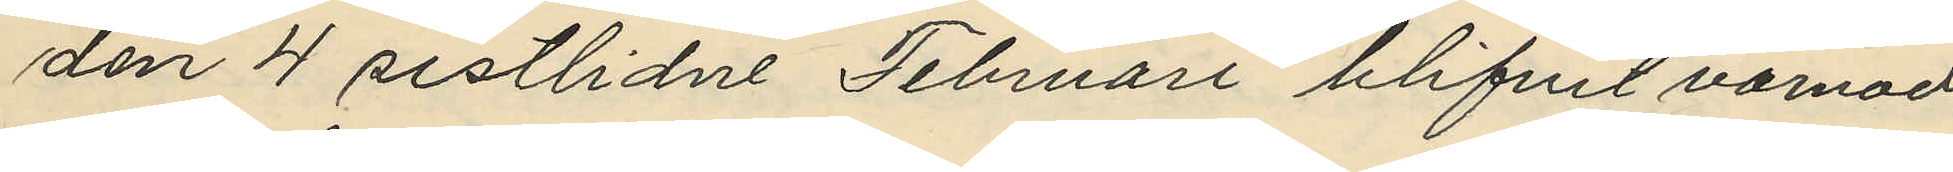den 4 sistlidne Februari blifvit varnad
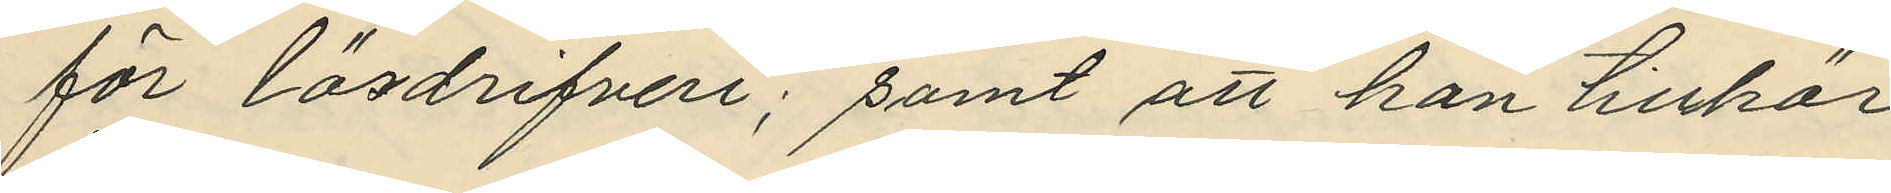för lösdrifveri; samt att han tillhör
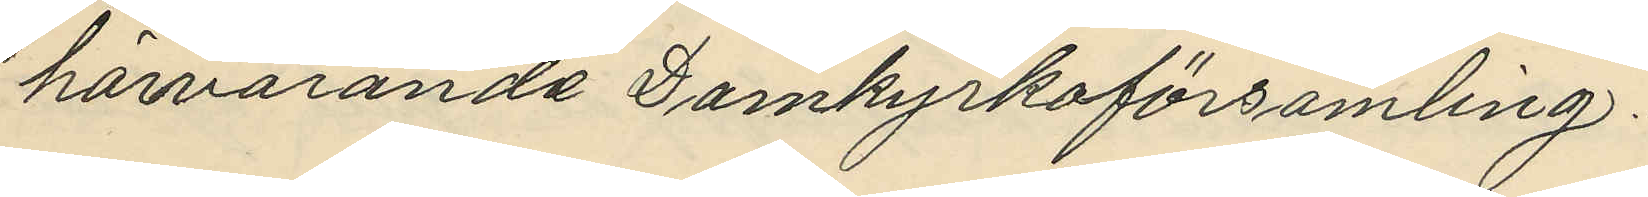härvarande Domkyrkoförsamling.
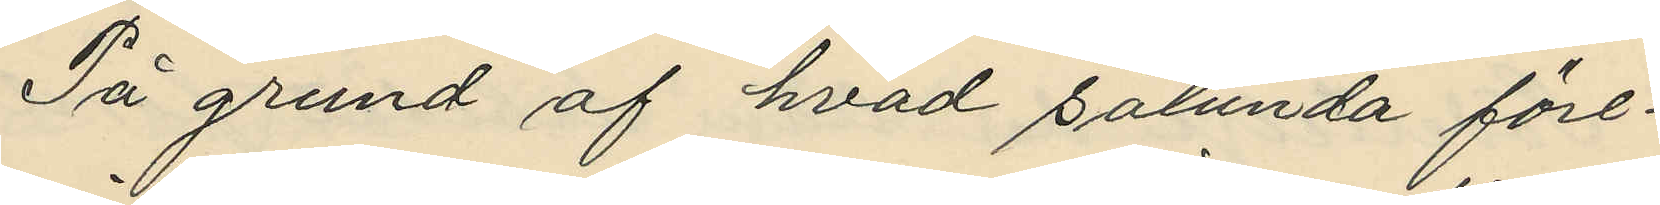På grund af hvad sålunda före¬
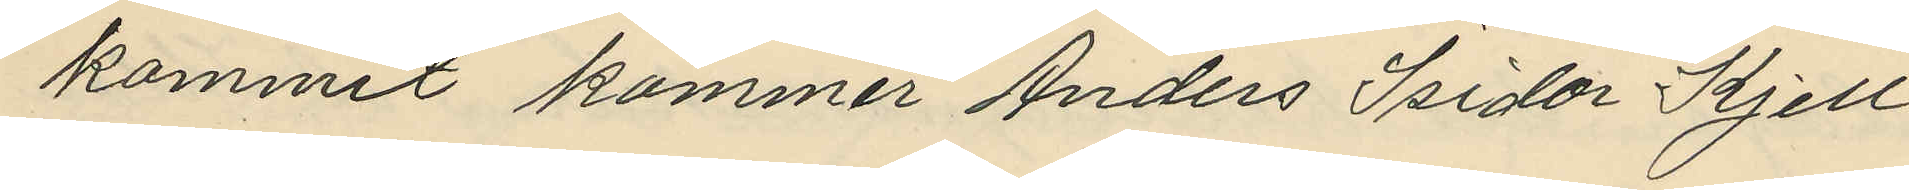kommit kommer Anders Isidor Kjell¬
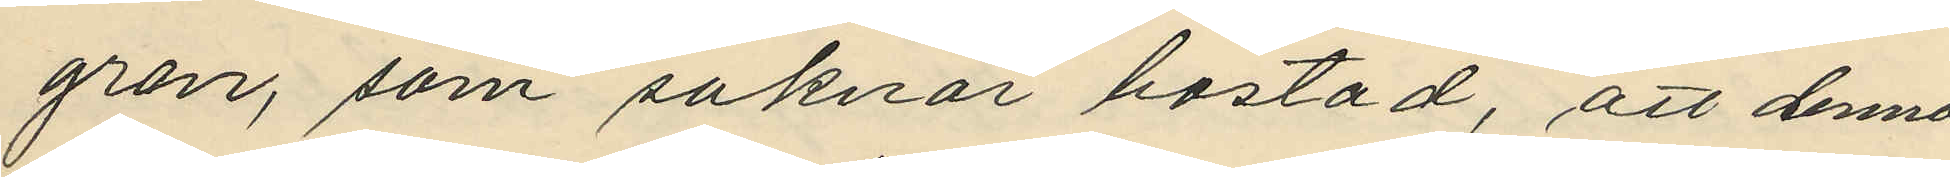gren, som saknar bostad, att denna
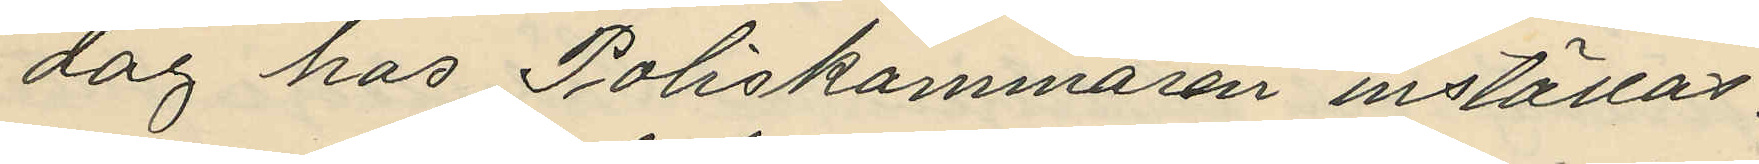dag hos Poliskammaren inställas.
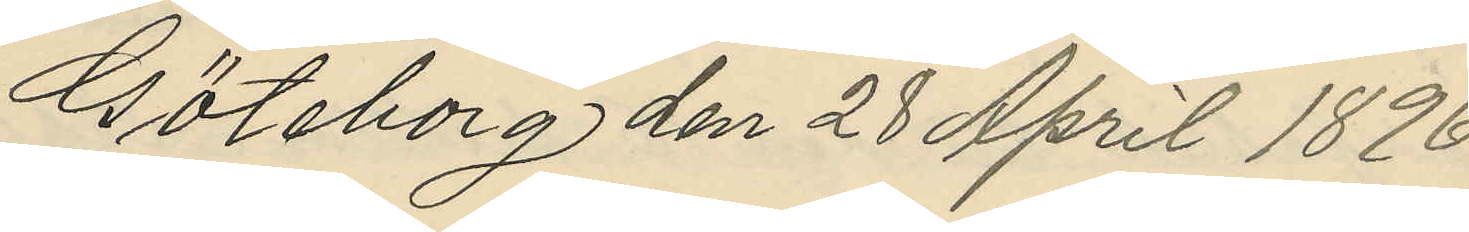Göteborg den 28 April 1896.
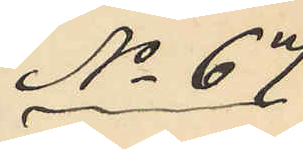No 67
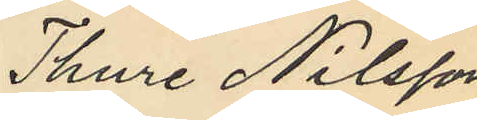Thure Nilsson
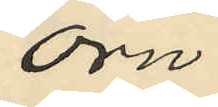Örn.
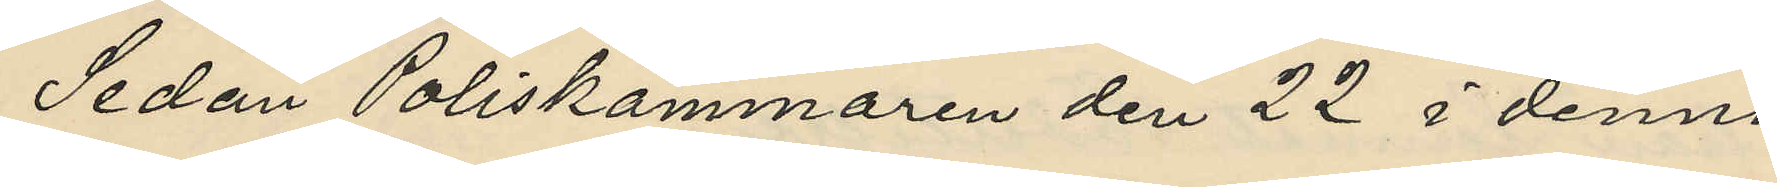Sedan Poliskammaren den 22 i denna
